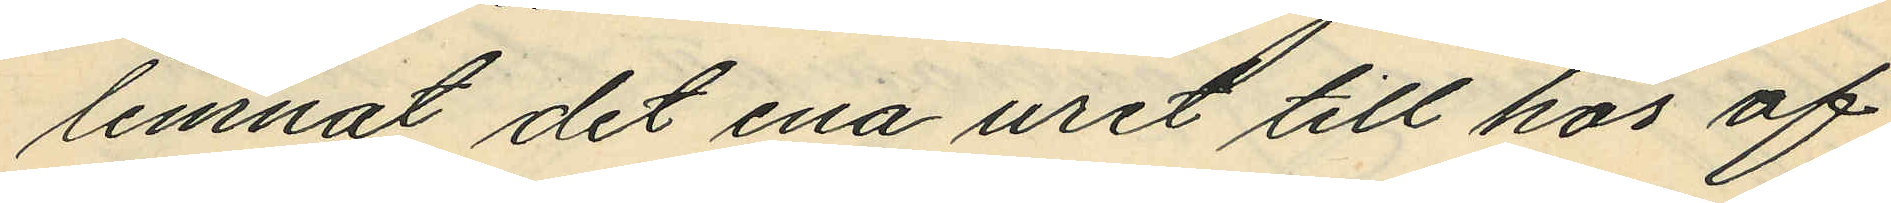lemnat det ena uret till hos of¬
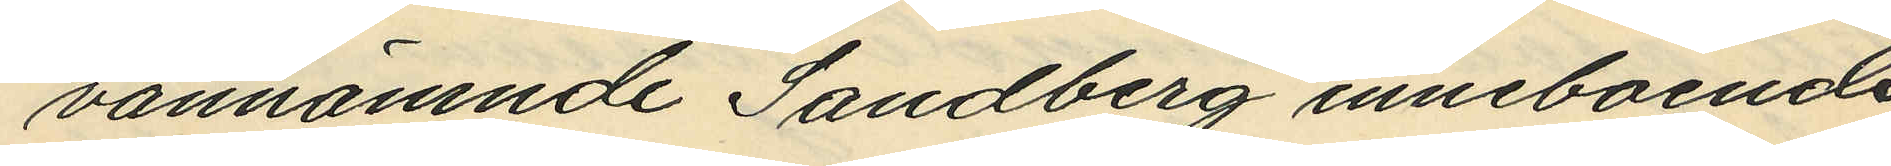vannämnde Sandberg inneboende
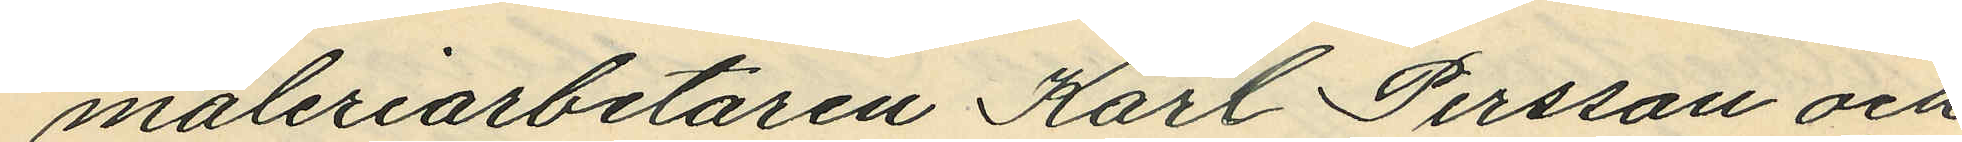måleriarbetaren Karl Persson och
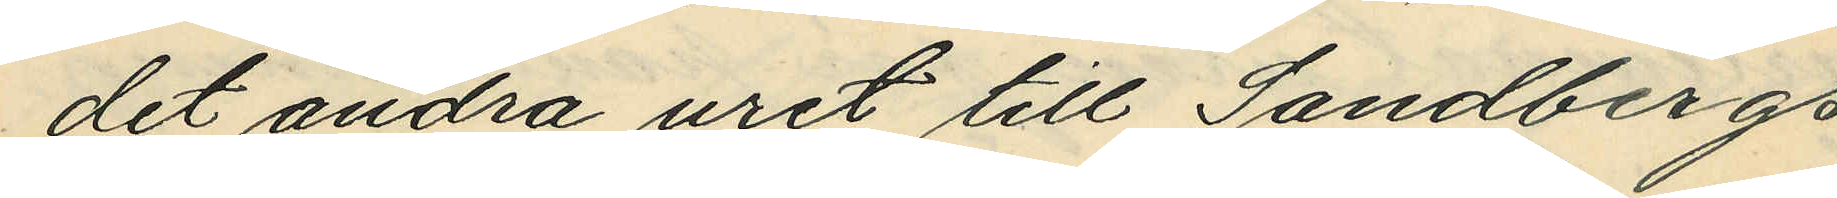det andra uret till Sandbergs
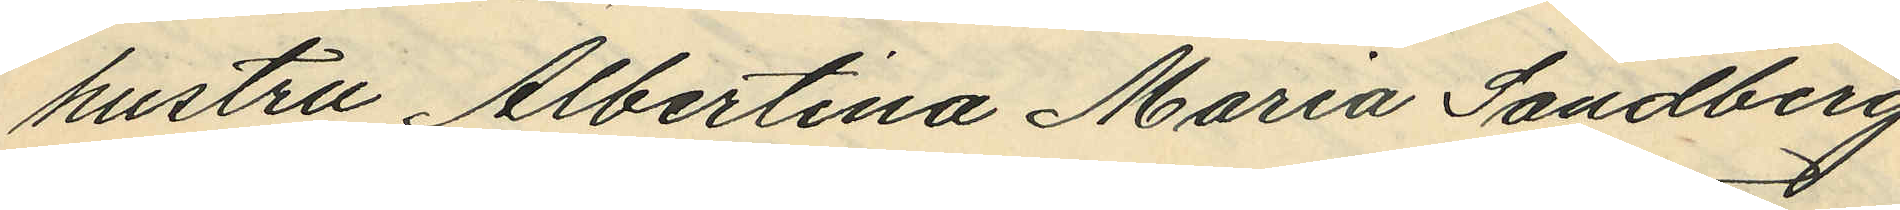hustru Albertina Maria Sandberg
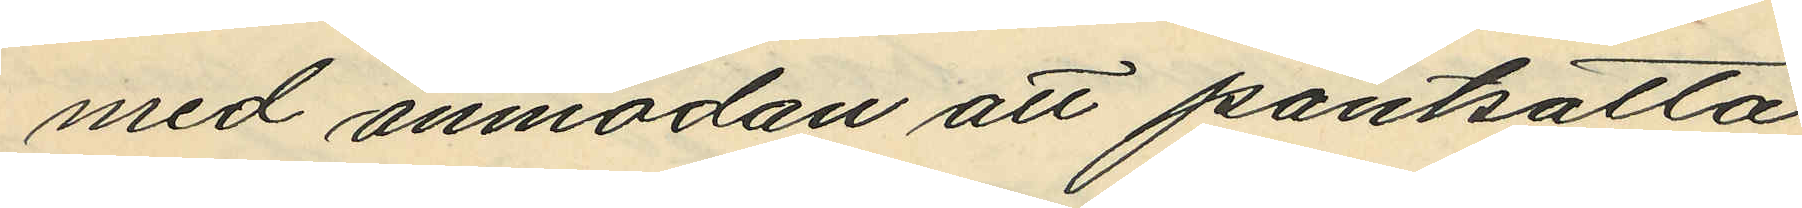med anmodan att pantsätta
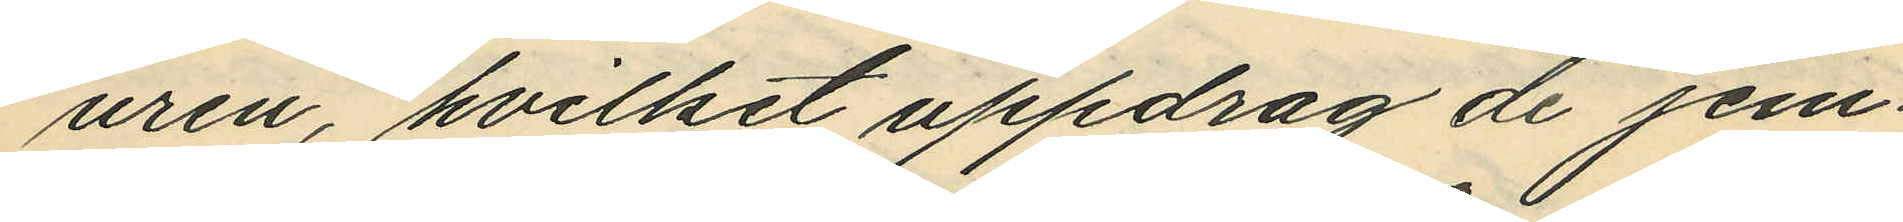uren, hvilket uppdrag de jem¬
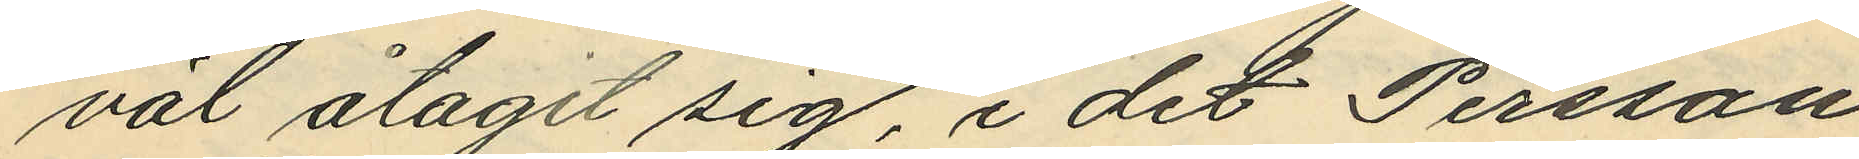väl åtagit sig, i det Persson
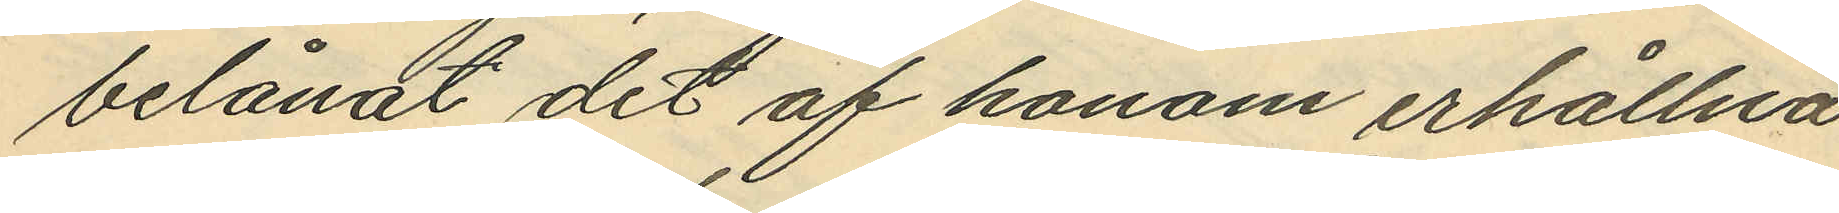belånat det af honom erhållna
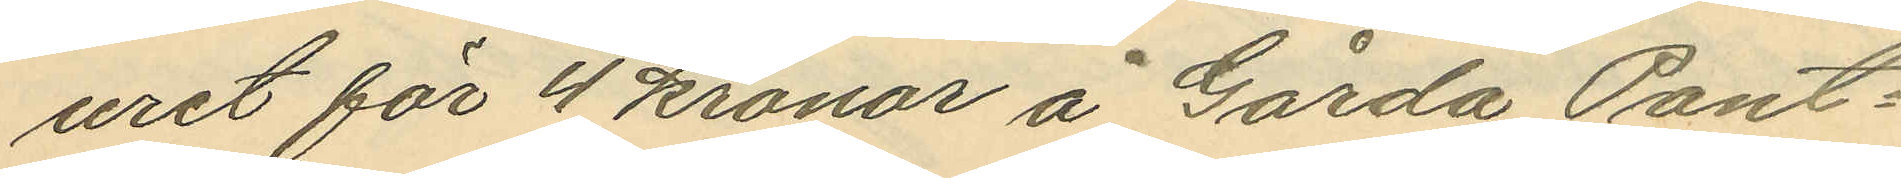uret för 4 kronor å Gårda Pant¬
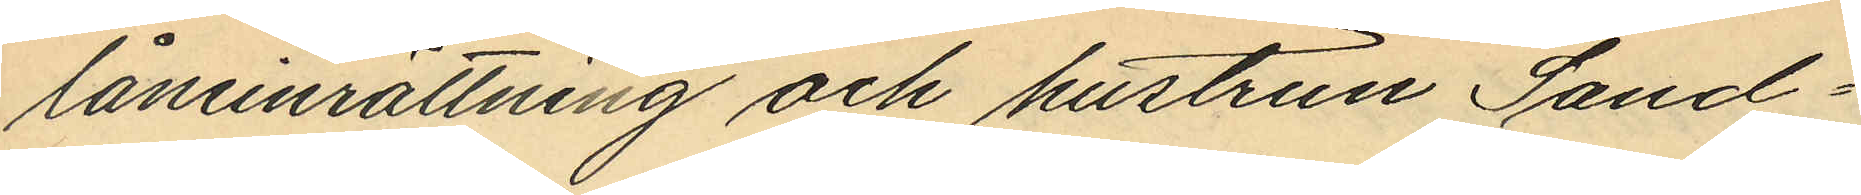låneinrättning och hustrun Sand¬
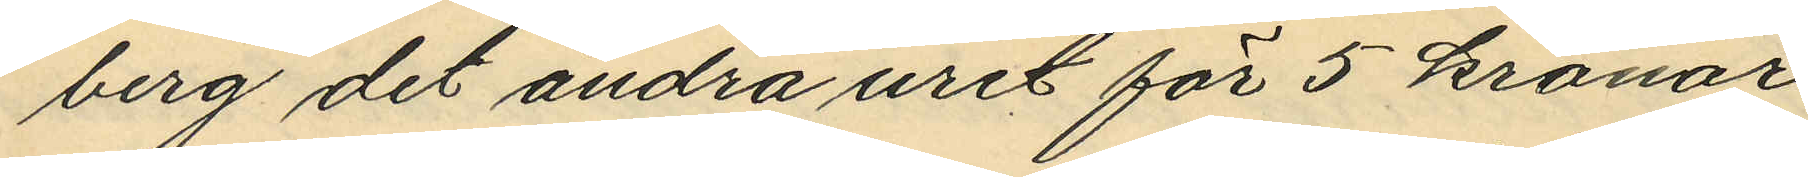berg det andra uret för 5 kronar
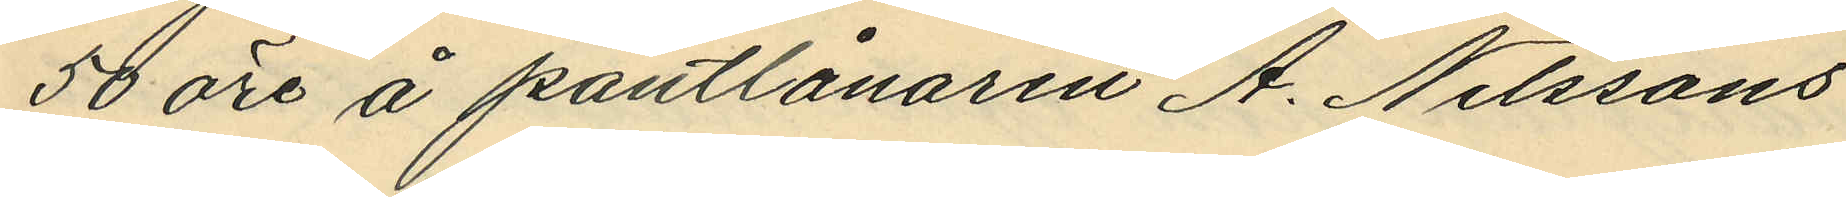50 öre å pantlånaren A. Nilssons
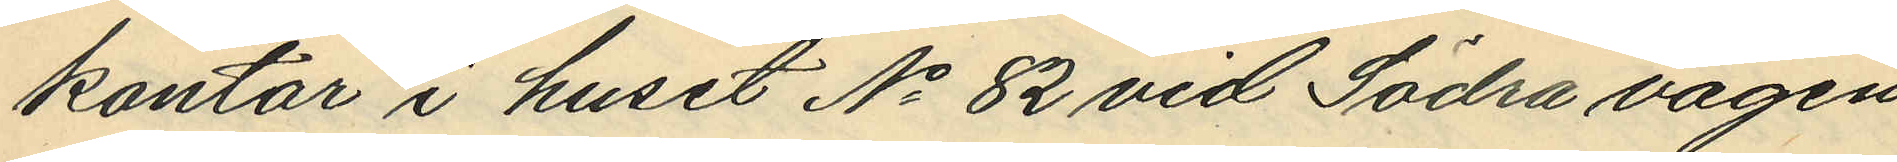kontar i huset No 82 vid Södra vägen,
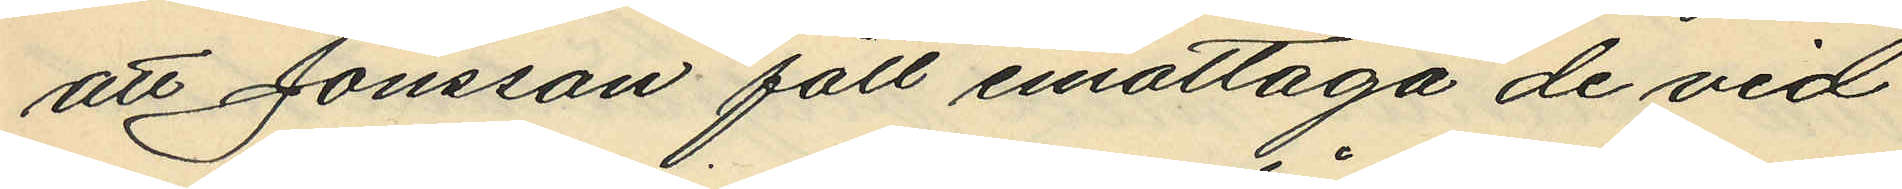att Jonsson fått emottaga de vid
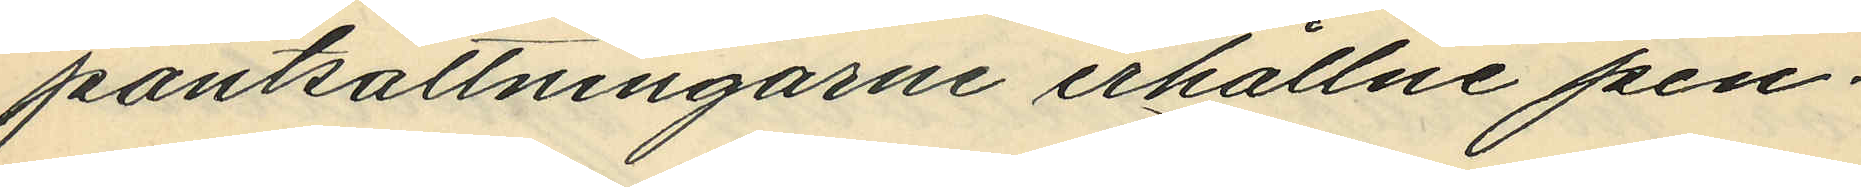pantsättningarne erhållne pen¬
